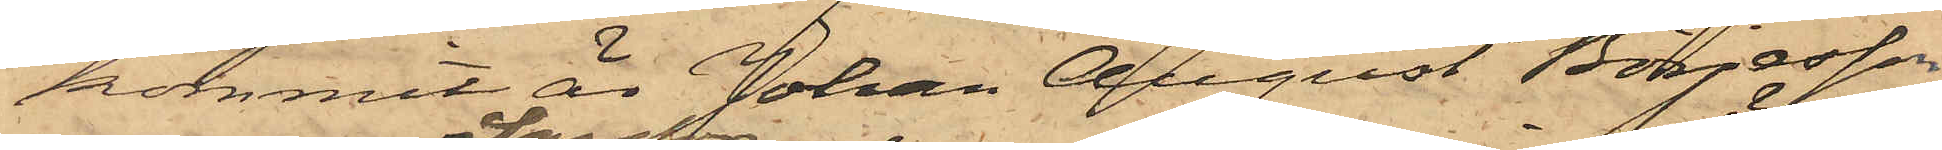kommit är Johan August Börjesson
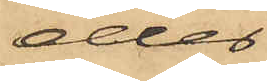eller
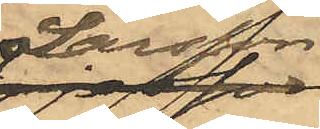Larsson
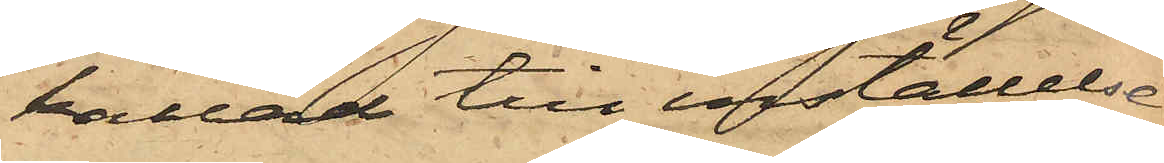kallad till inställelse
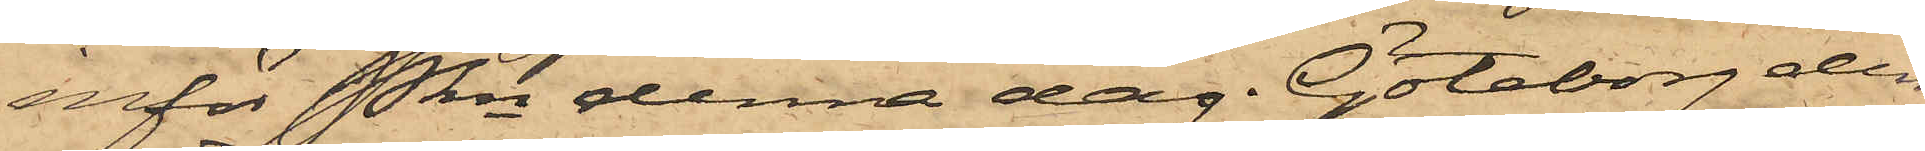inför Pkn denna dag. Göteborg den
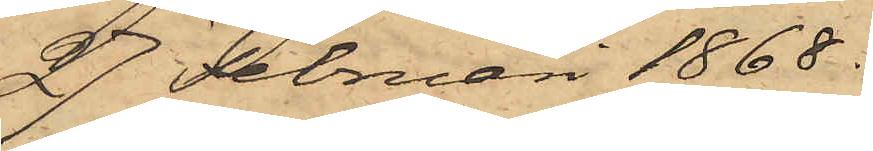27 Februari 1868.
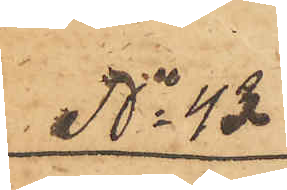No 43.
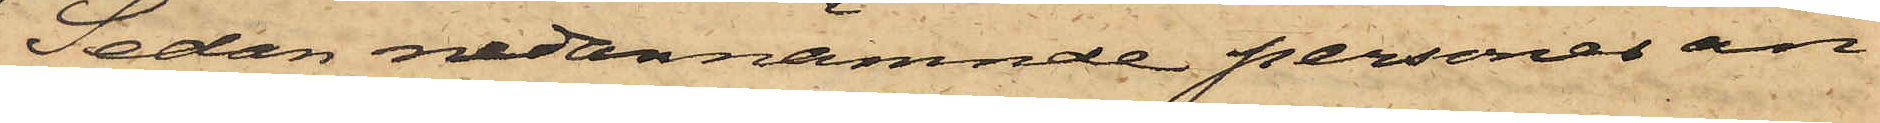Sedan nedannämnde personer an¬
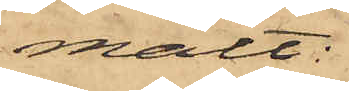mält:
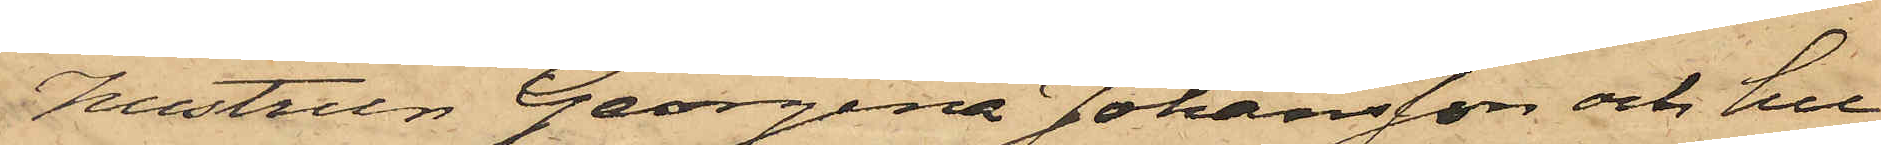Hustrun Georgina Johansson och hu¬
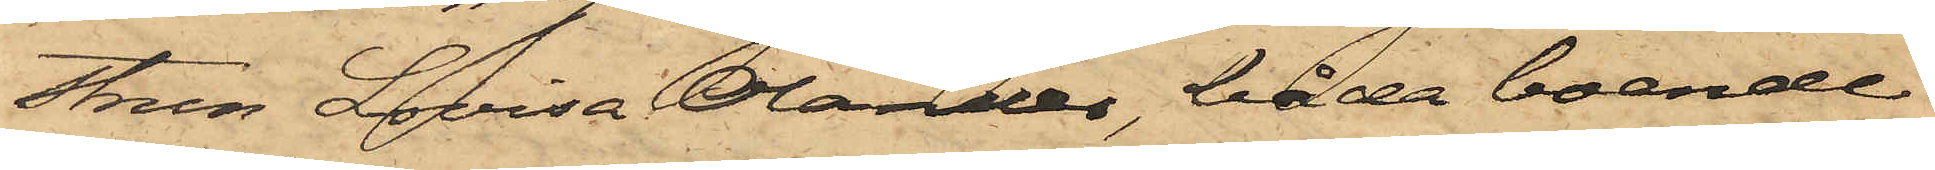strun Lovisa Olander, båda boende
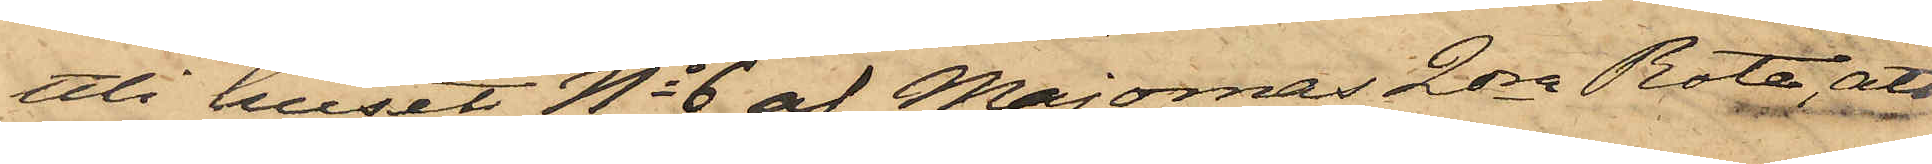uti huset No 6 af Majornas 2dra Rote, att
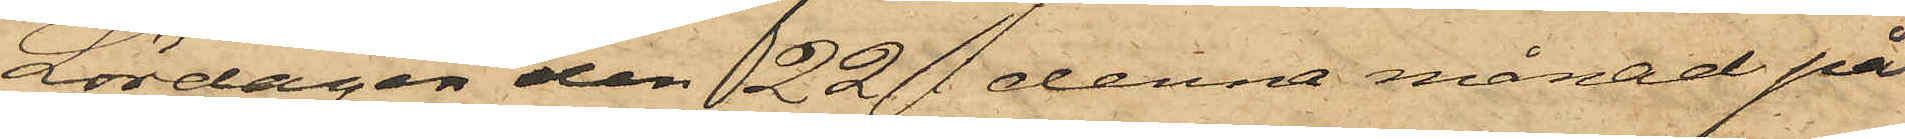Lördagen den 22 denna månad på
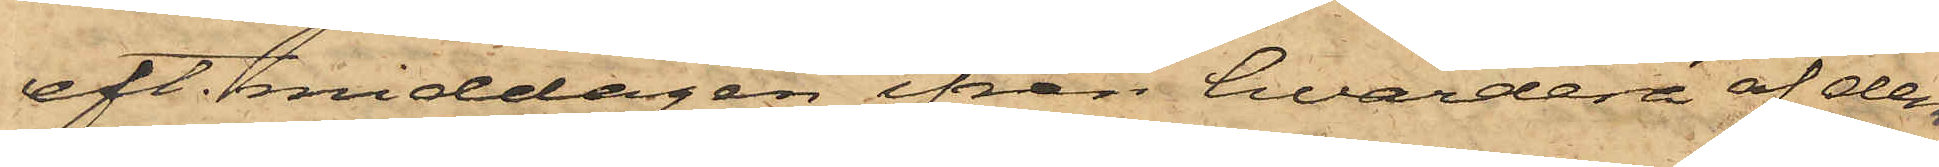eft. middagen ifrån hvardera af dem
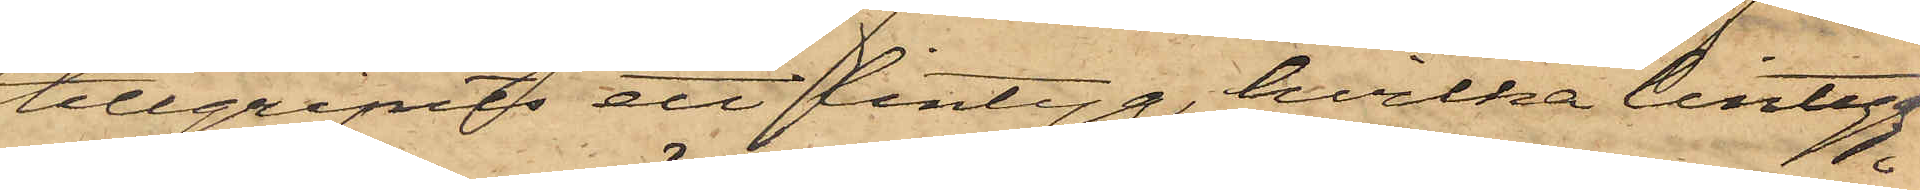tillgripits ett lintyg, hvilka lintyg
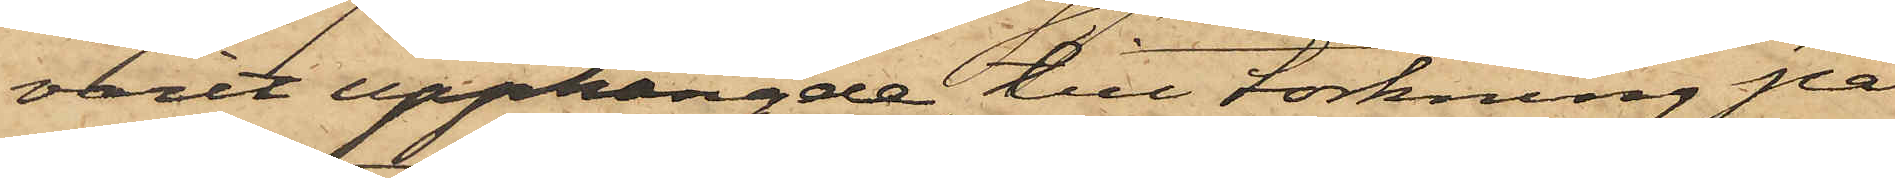varit upphängde till torkning på
